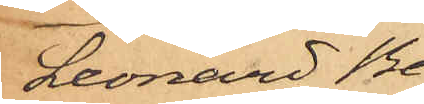Leonard Be¬
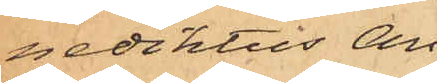nediktus An¬
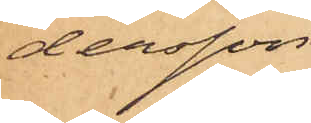dersson.
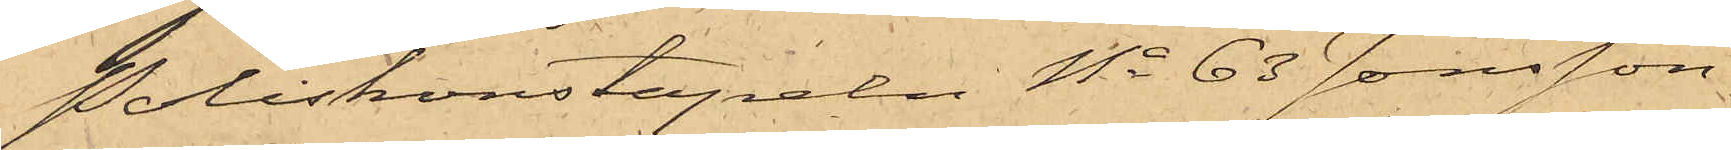Poliskonstapeln No 63 Jonsson,
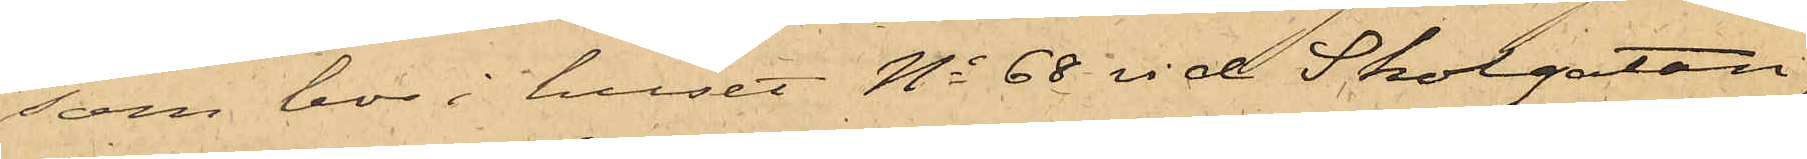som bor i huset No 68 vid Skolgatan,
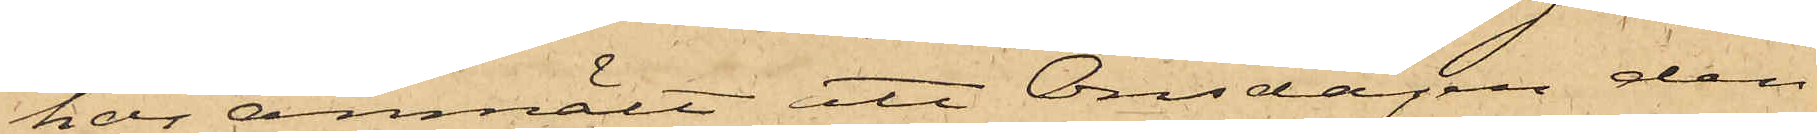har anmält att Onsdagen den
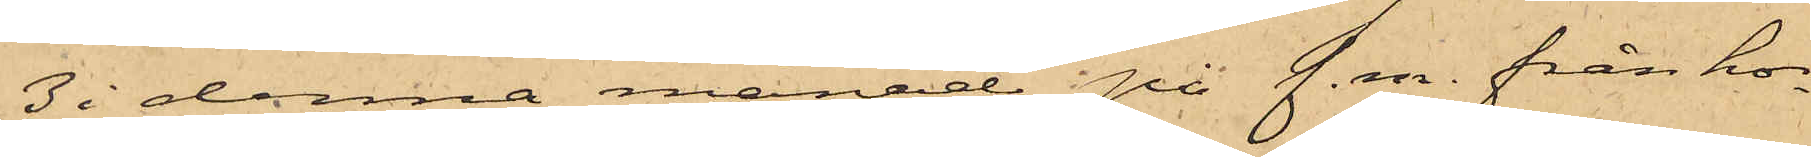3 i denna månad på f. m. från ho¬
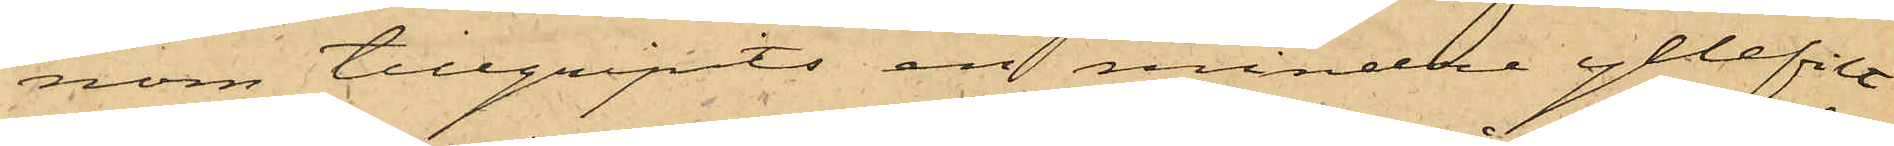nom tillgripits en mindre yllefilt
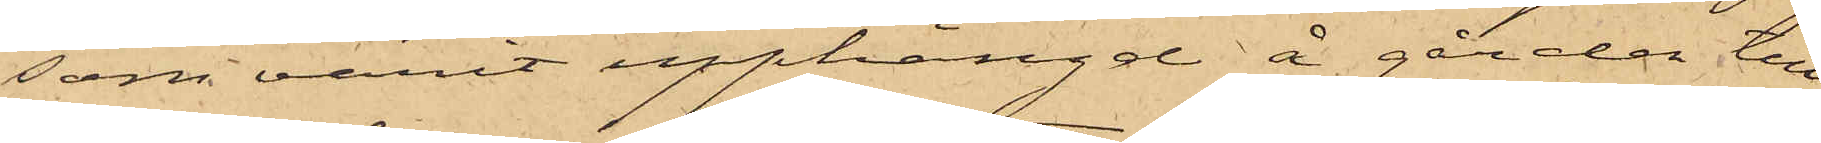som varit upphängd å gården till
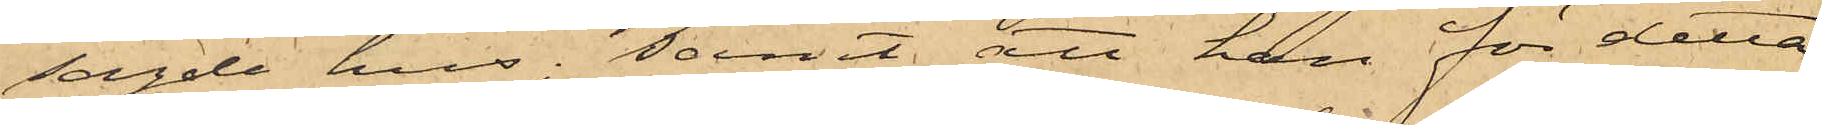sagde hus; samt att han för detta
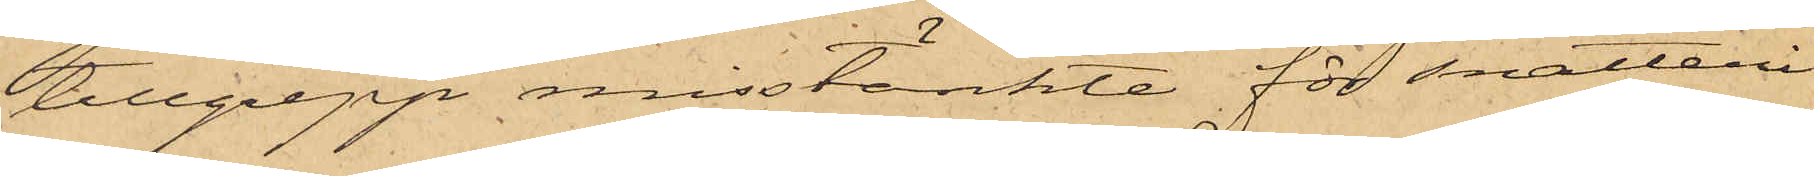tillgrepp misstänkte för snatteri
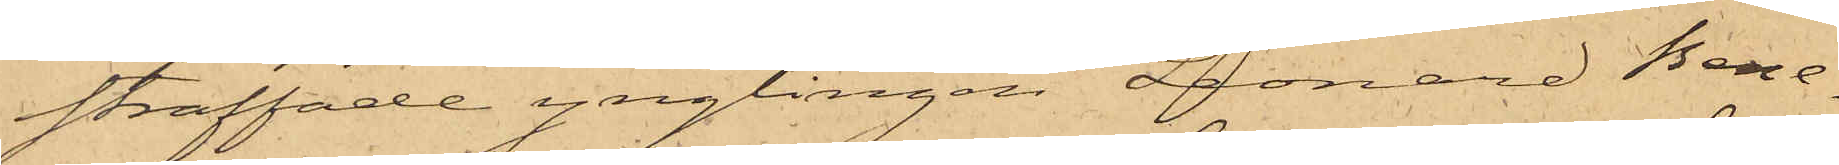straffade ynglingen Leonard Bene¬
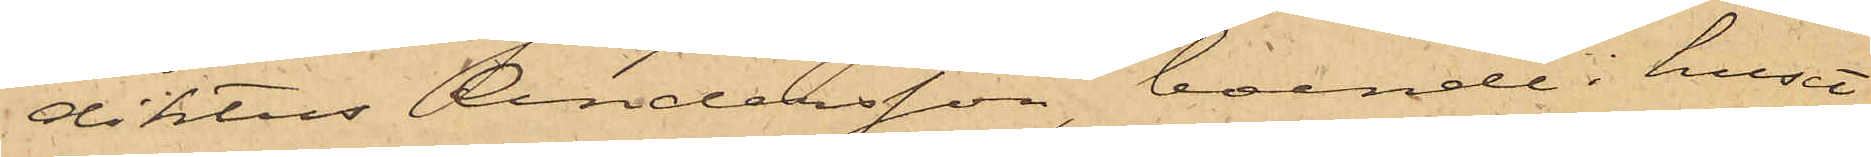diktus Andersson, boende i huset
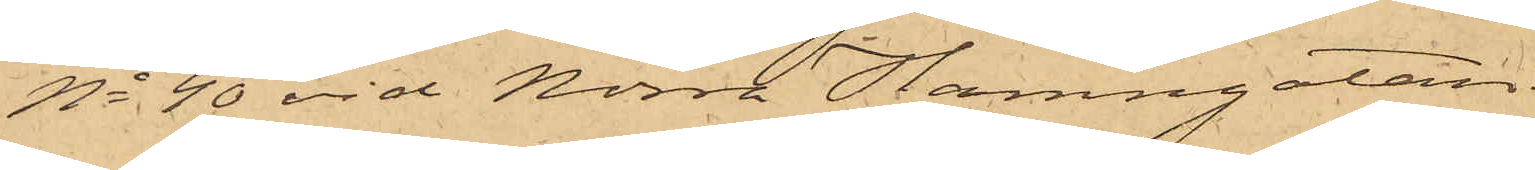No 40 vid Norra Hamngatan.
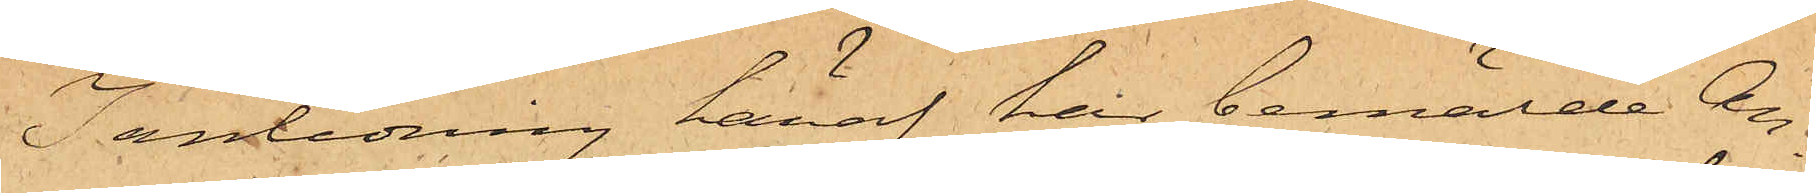I anledning häraf här bemälde An¬
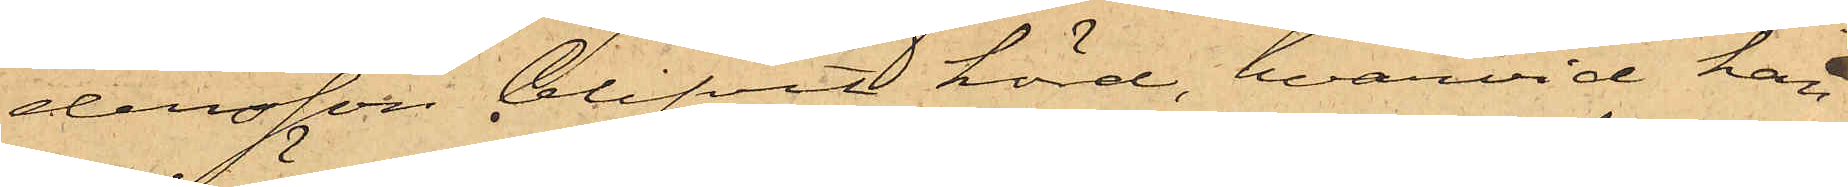dersson blifvit hörd, hvarvid han
